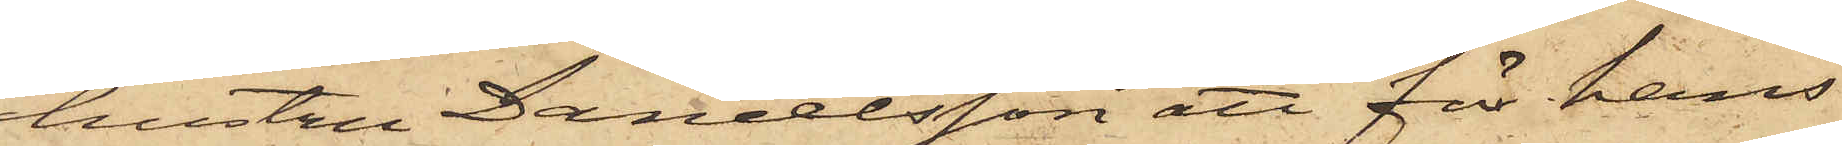hustru Danielsson att för hans
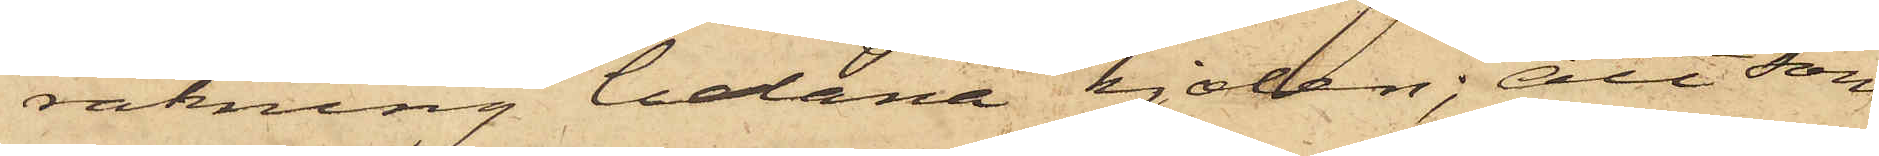räkning belåna kjolen; att som
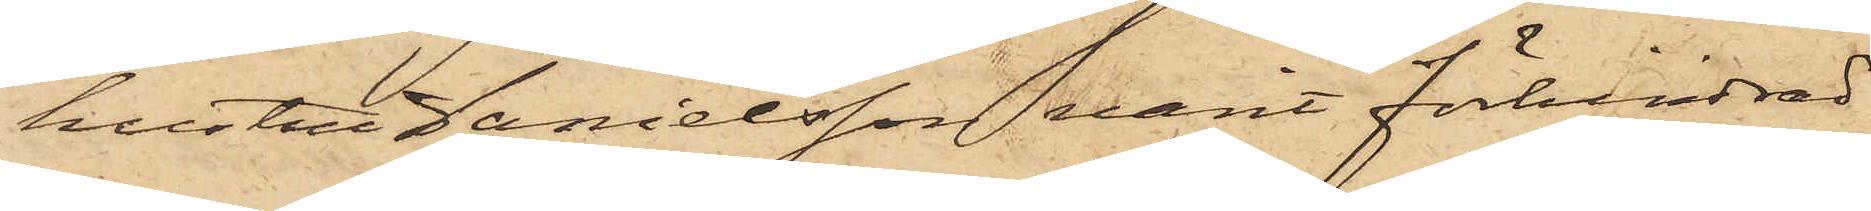hustru Danielsson varit förhindrad
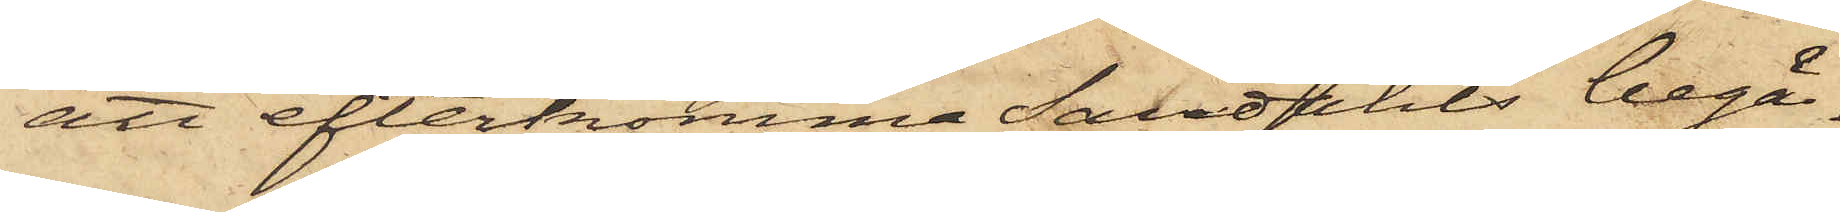att efterkomma Sandahls begä¬
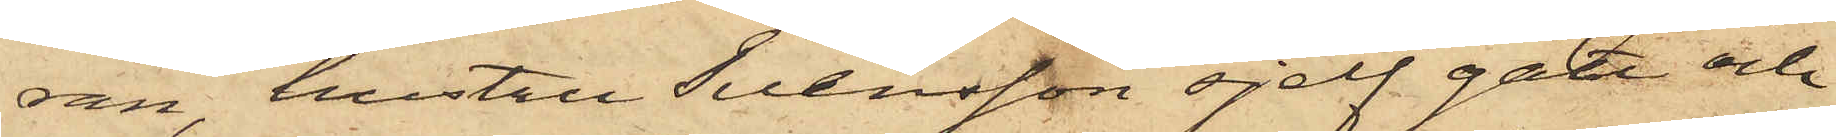ran hustru Svensson sjelf gått och
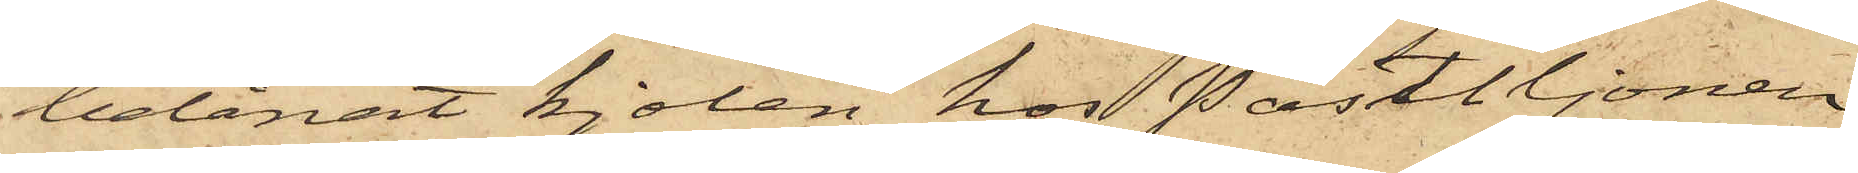belånat kjolen hos Postiljonen
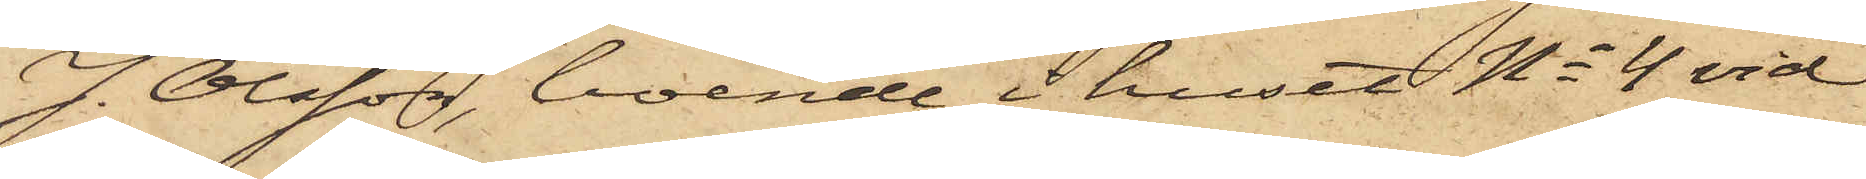J. Olsson, boende i huset No 4 vid
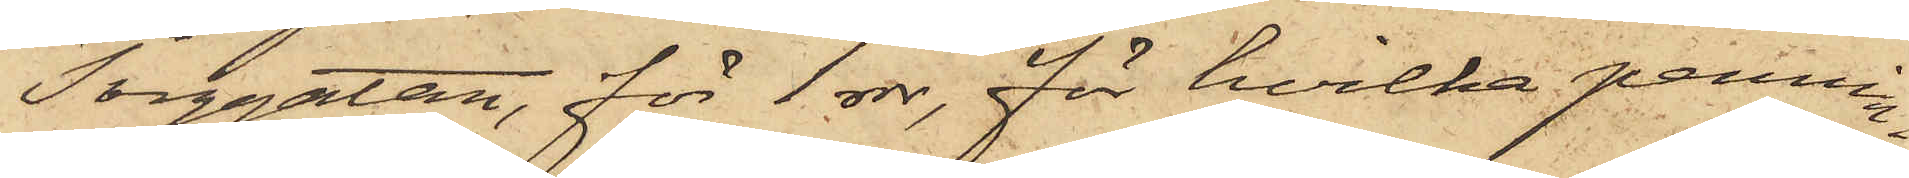Torggatan, för 1 rdr, för hvilka pennin¬
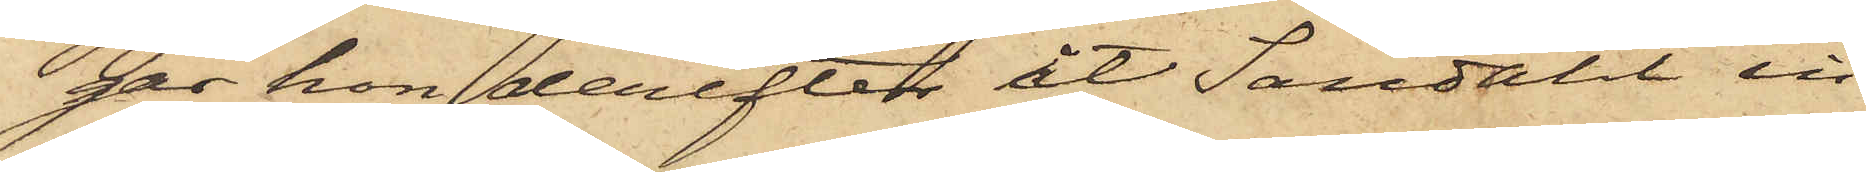gar hon derefter åt Sandahl in¬
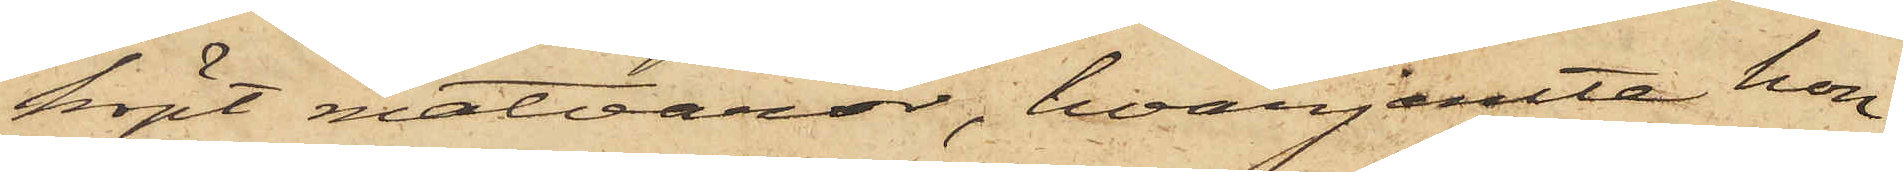köpt matvaror, hvarjemte hon
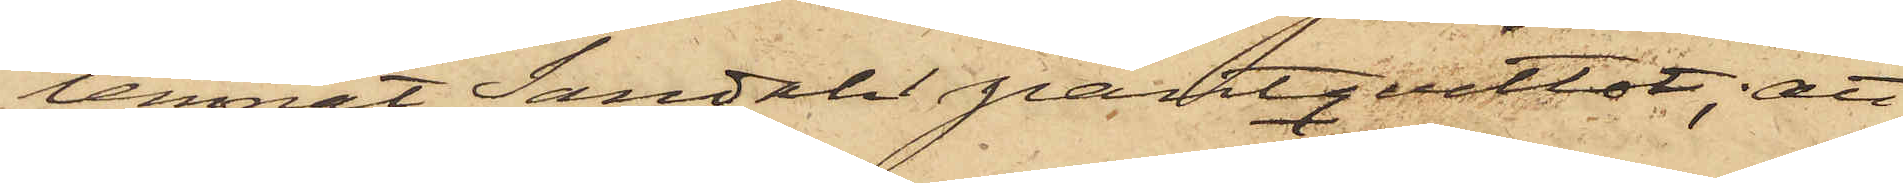lemnat Sandahl pantqvittot; att
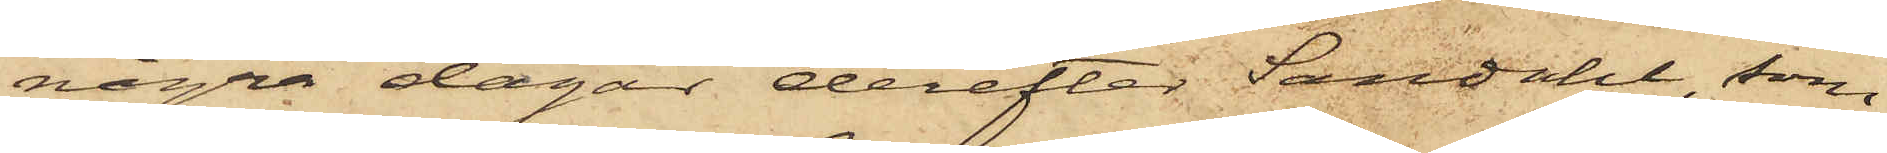några dagar derefter Sandahl, som
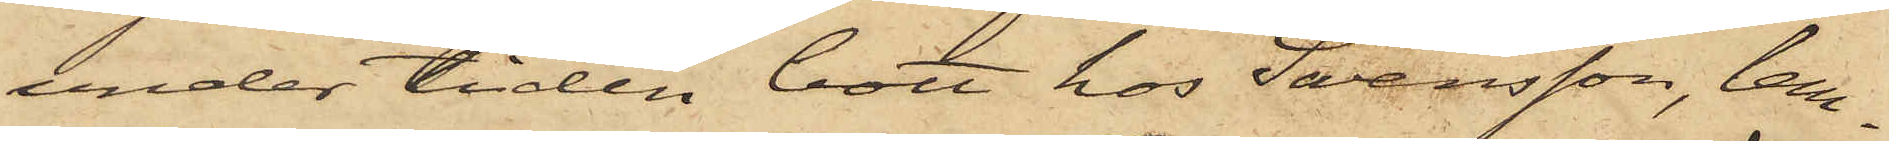under tiden bott hos Swensson, lem¬
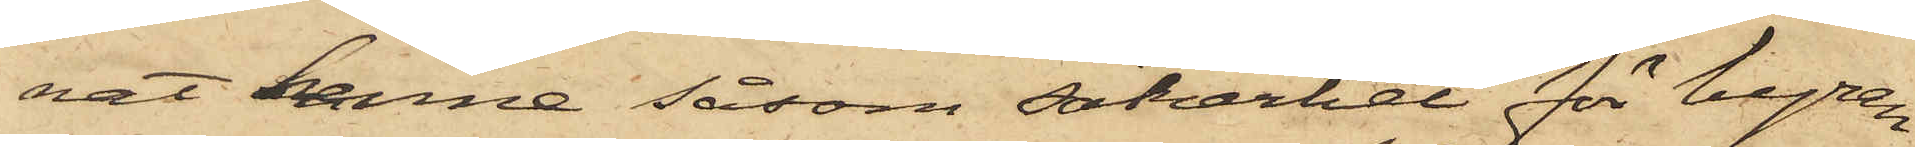nat henne såsom säkerhet för hyran
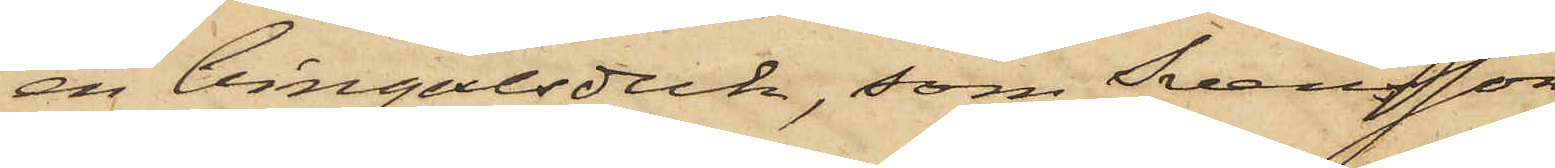en bingalsduk, som Svensson
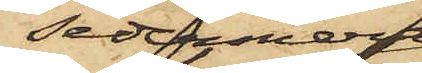sedermera
